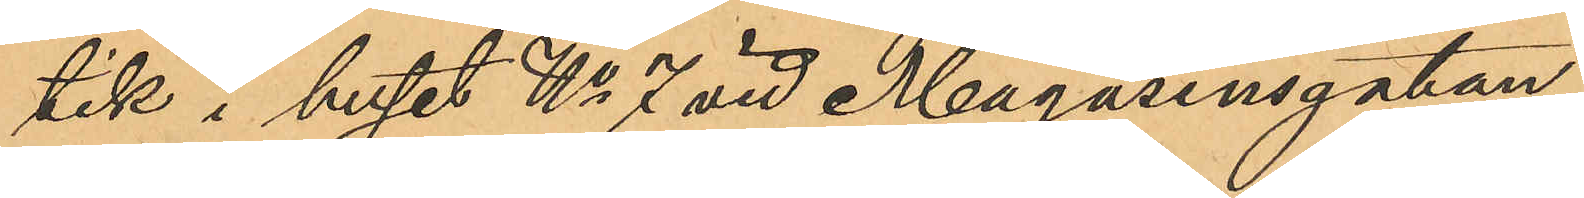tik i huset No 7 vid Magasinsgatan,
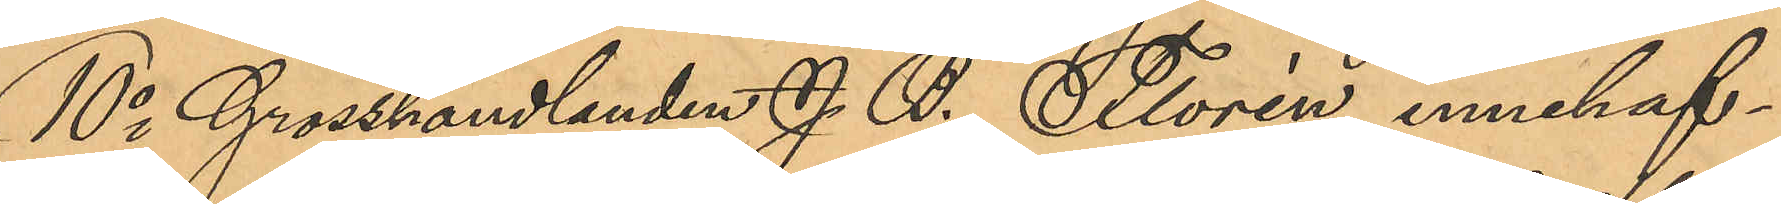10o Grosshandlanden J. B. Florén innehaf¬
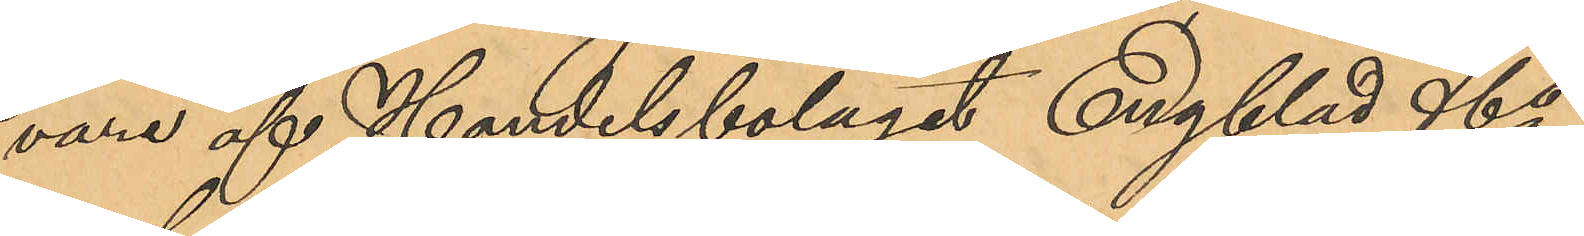vara af Handelsbolaget Engblad & Co,
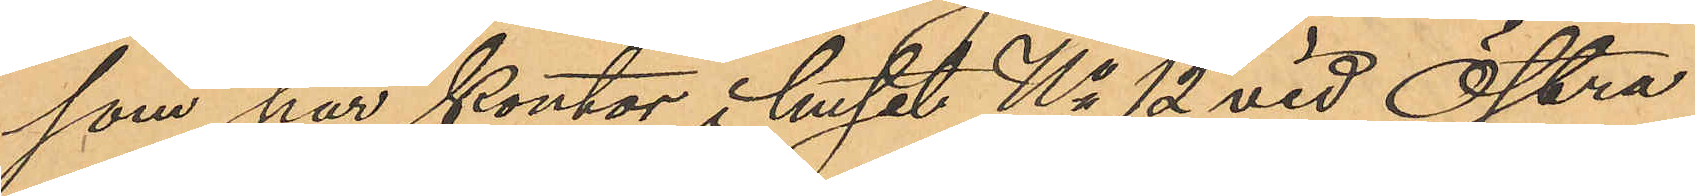som har kontor i huset No 12 vid Östra
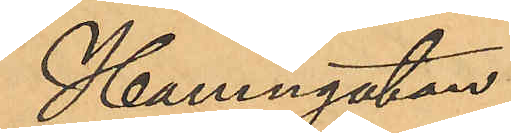Hamngatan,
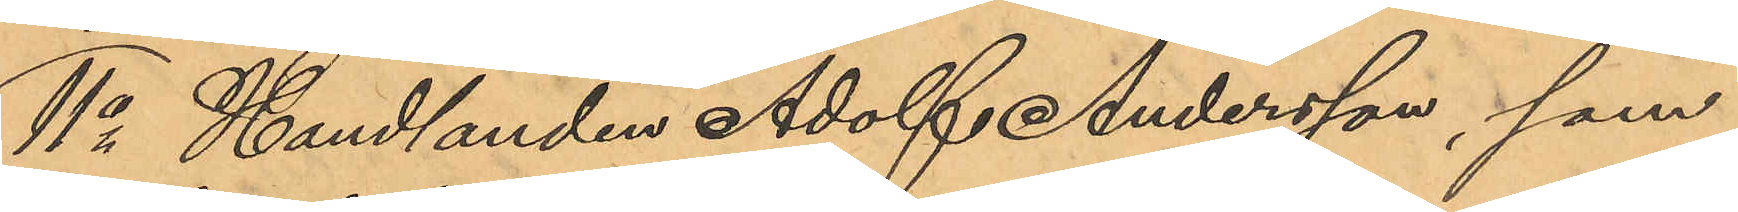11o Handlanden Adolf Andersson, som
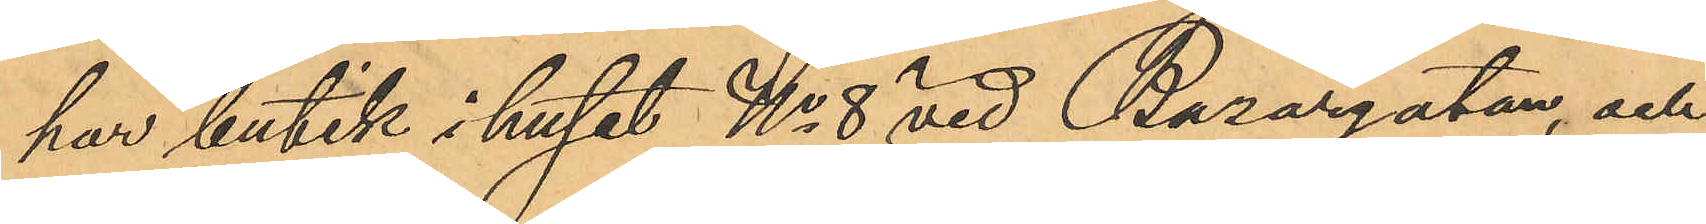har butik i huset No 8 vid Bazargatan, och
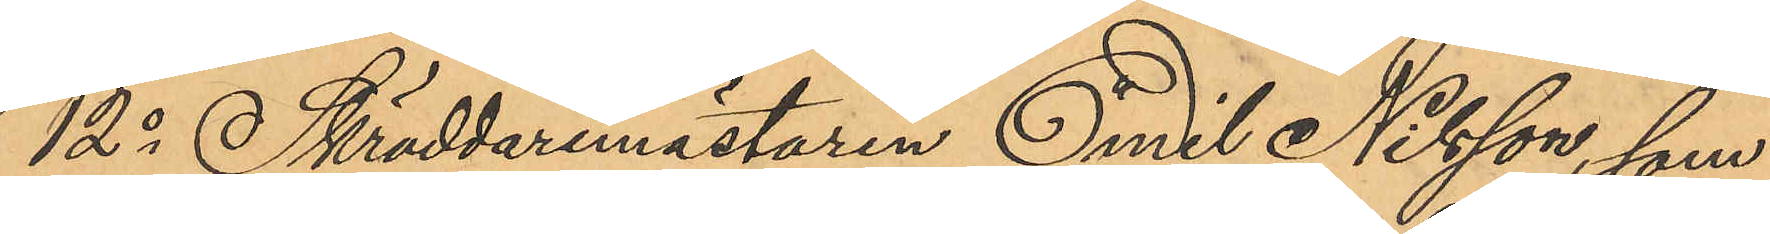12o Skräddaremästaren Emil Nilsson, som
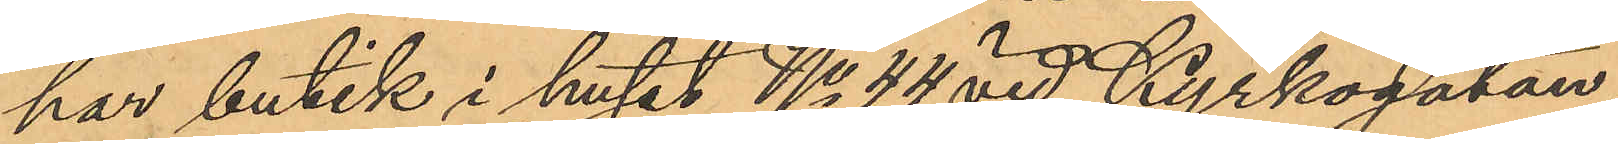har butik i huset No 44 vid Kyrkogatan,
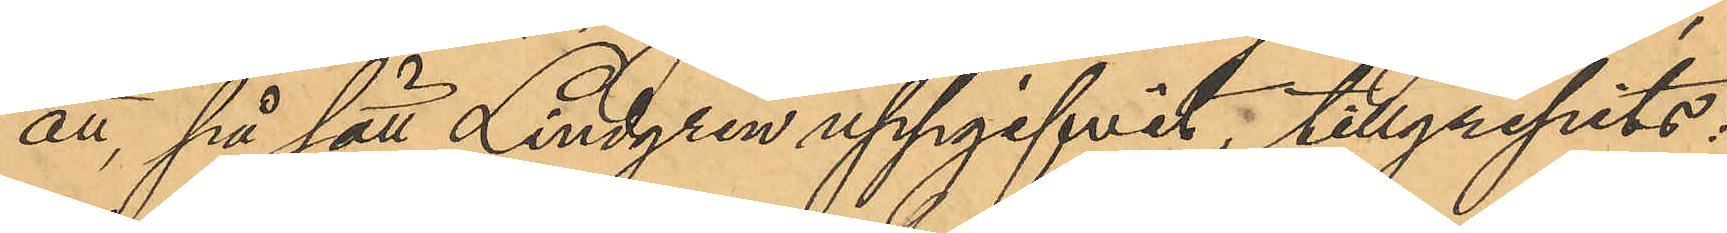att, på sätt Lindgren uppgifvit, tillgripits:
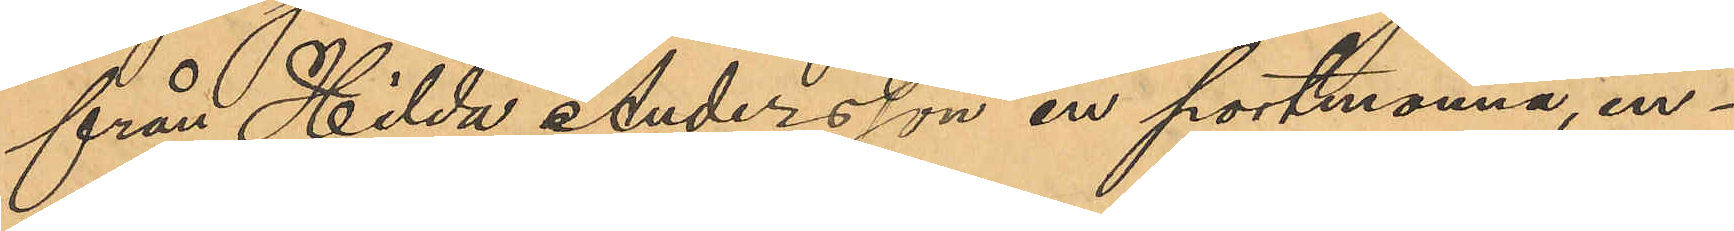från Hilda Andersson en portmonnä, in¬
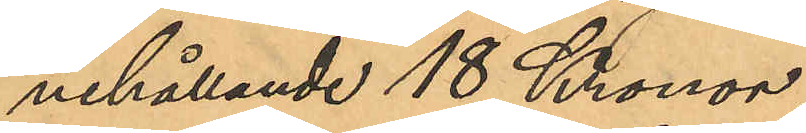nehållande 18 Kronor,
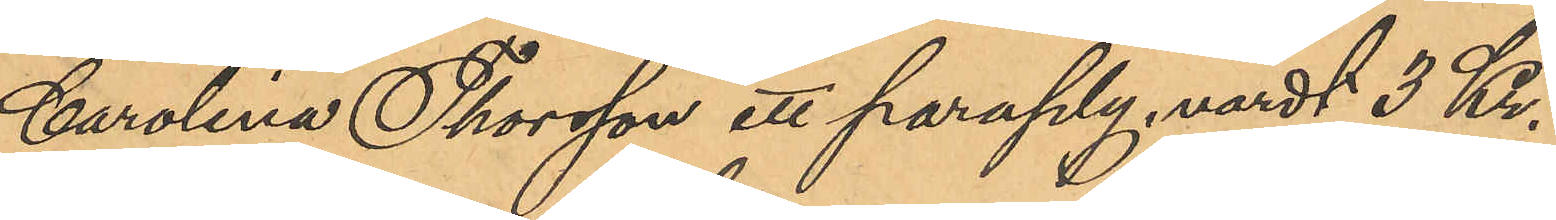Carolina Thorsson ett paraply, värdt 3 Kr.
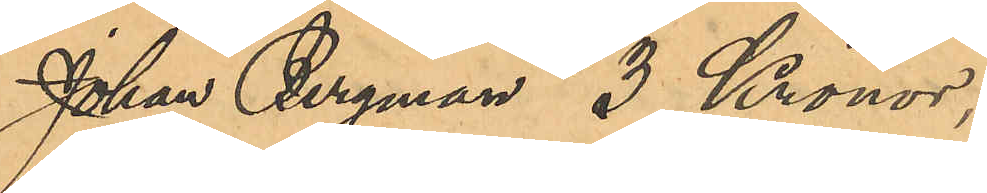Johan Bergman 3 Kronor,
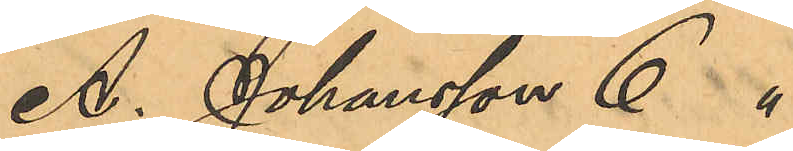A. Johansson 6 "
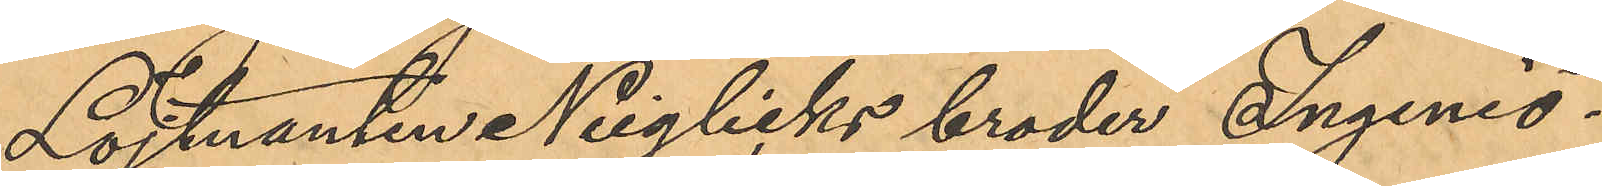Löjtnanten Neiglicks broder Ingeniö¬
